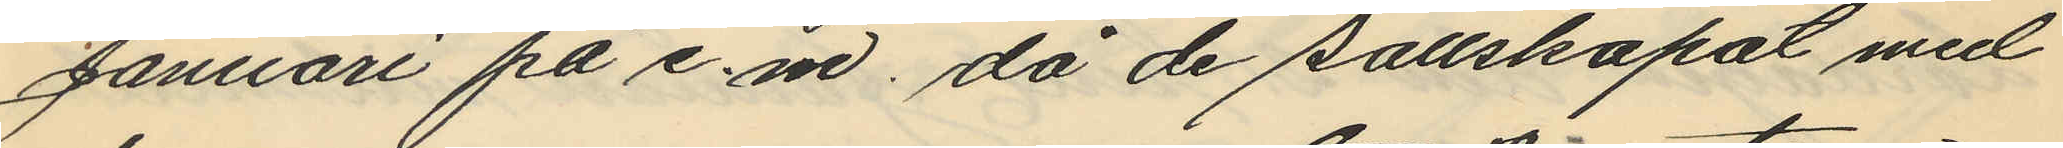Januari på e.m, då de sällskapat med
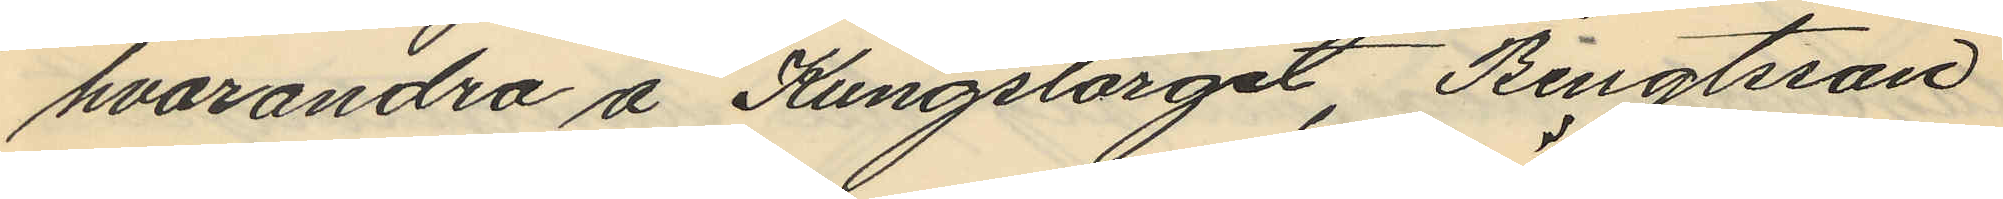hvarandra å Kungstorget, Bengtsson
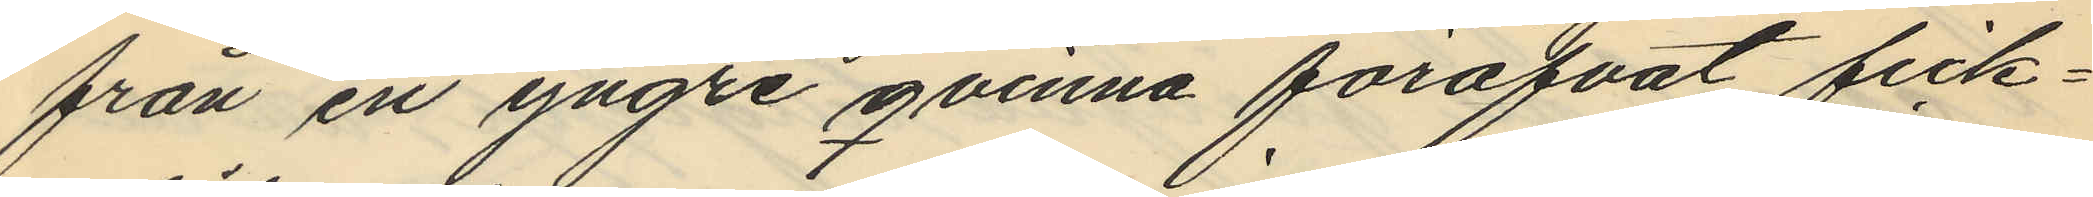från en yngre qvinna föröfvat fick¬
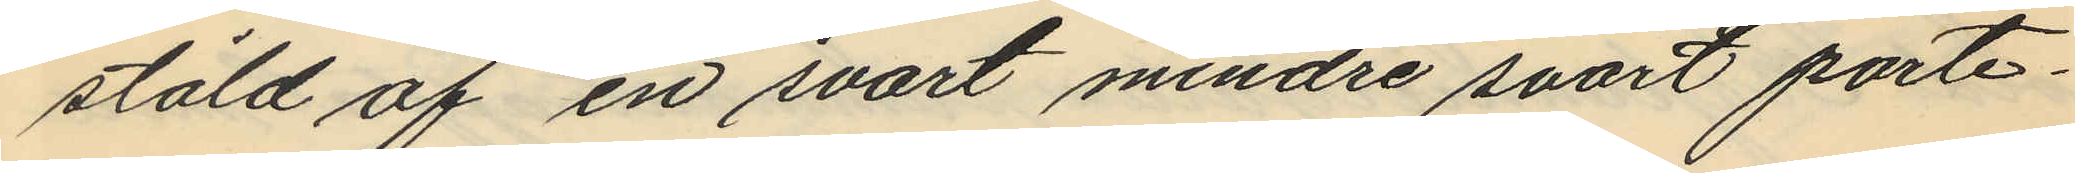stöld af en svart mindre svart porte¬
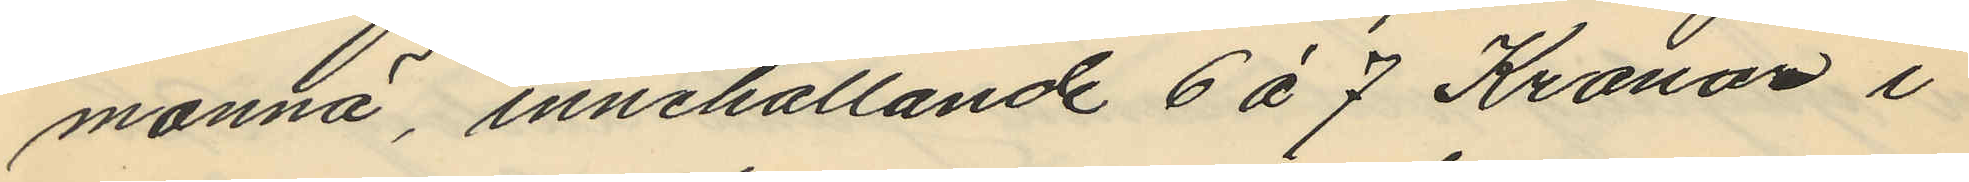monnä, innehållande 6 à 7 Kronor i
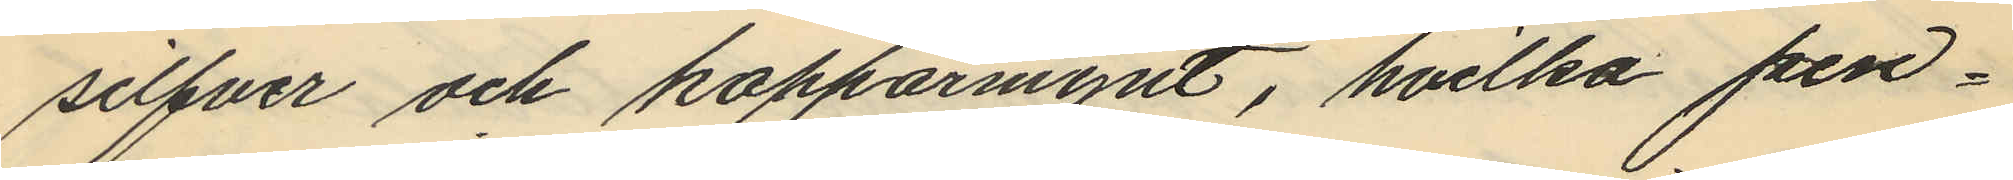silfver och kopparmynt, hvilka pen¬
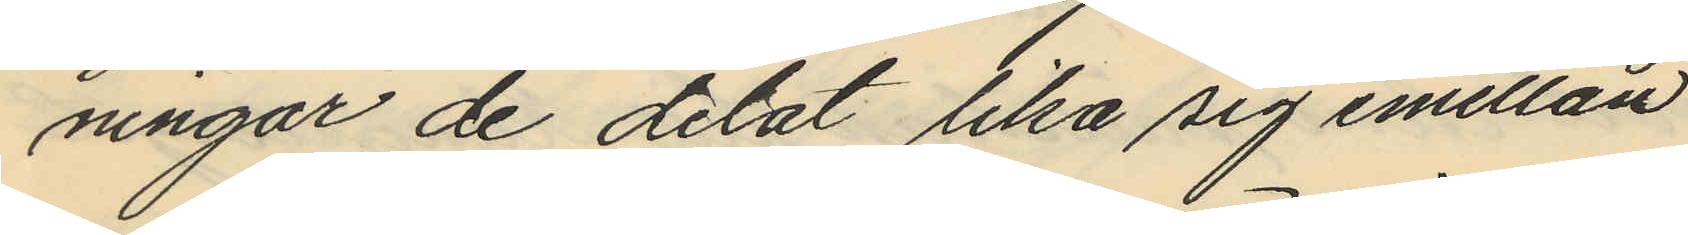ningar de delat lika sig emellan
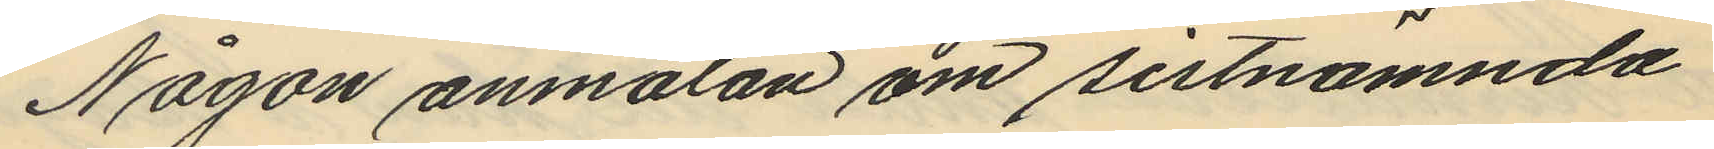Någon anmälan om sistnämnda
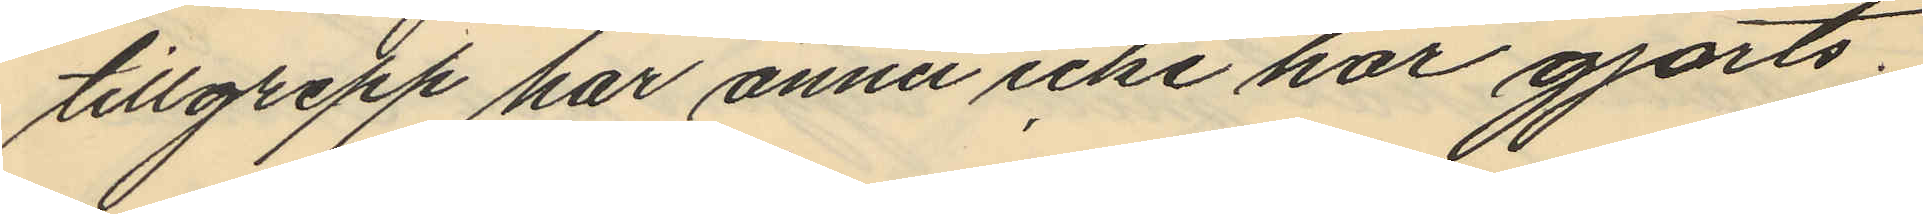tillgrepp har ännu icke har gjorts.
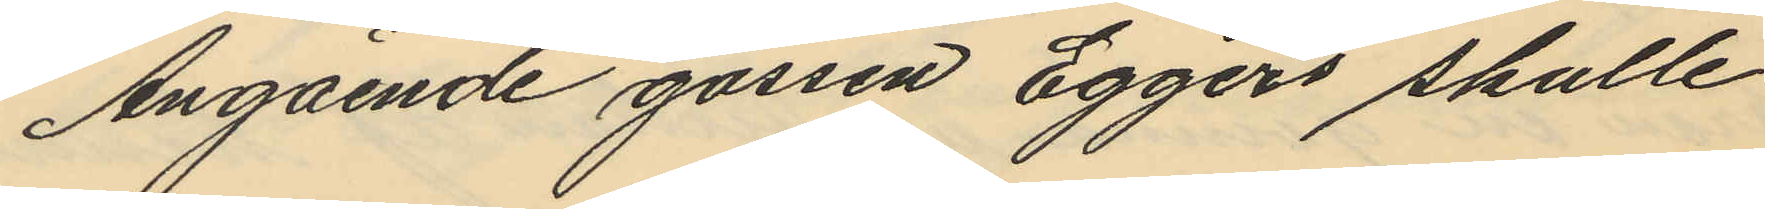Angående gossen Eggers skulle
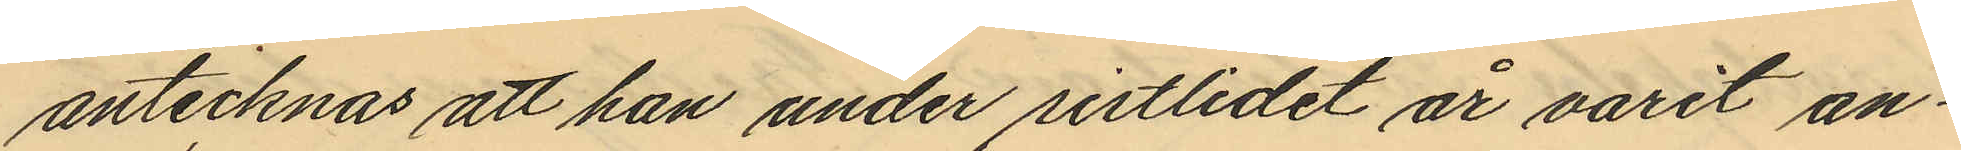antecknas att han under sistlidet år varit an¬
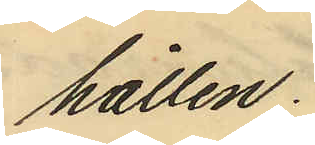hållen;
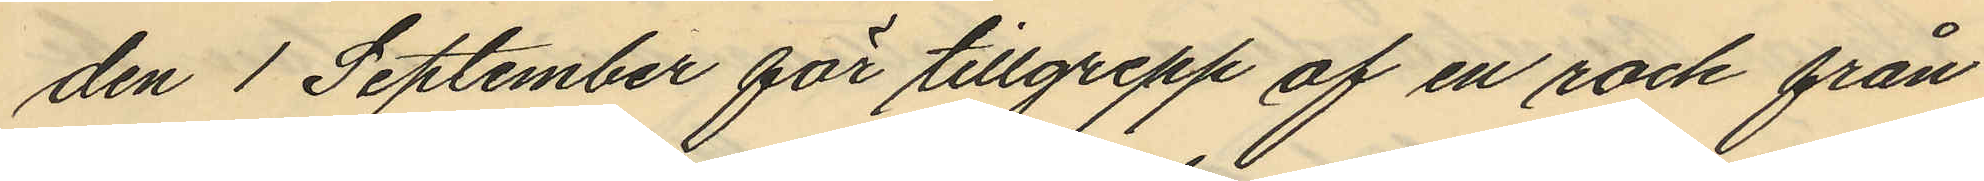den 1 September för tillgrepp af en rock från
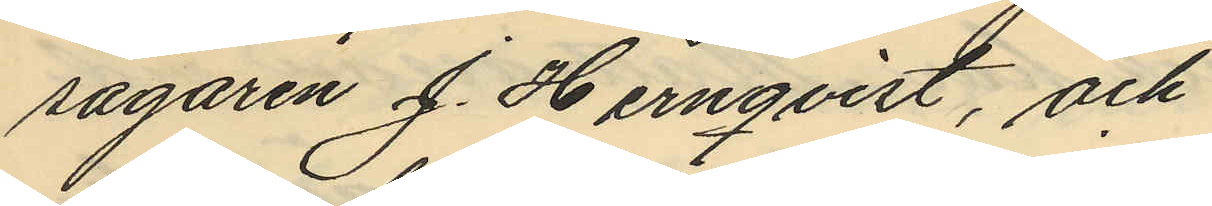sågaren J. Hernqvist, och
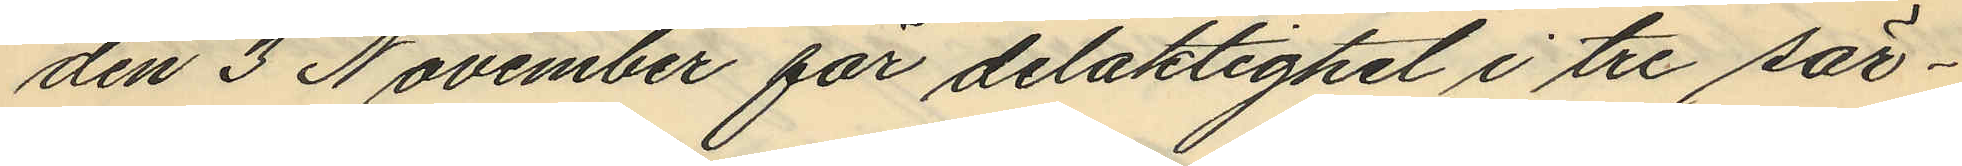den 3 November för delaktighet i tre sär¬
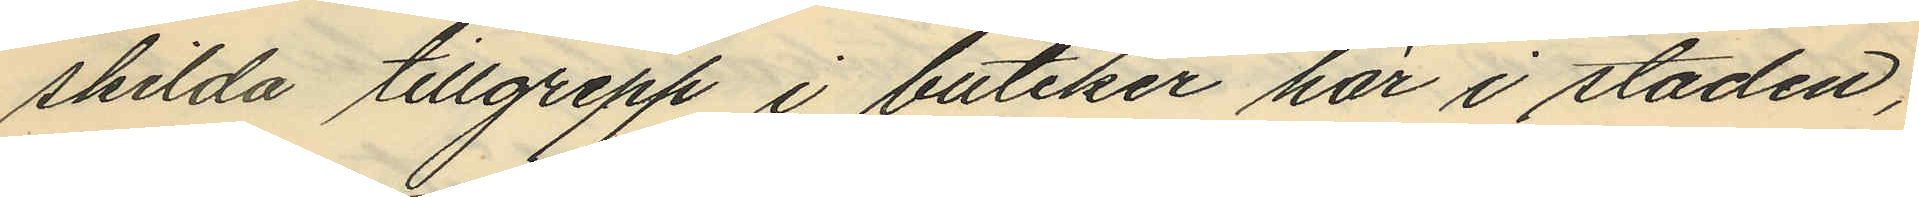skilda tillgrepp i butiker här i staden,
